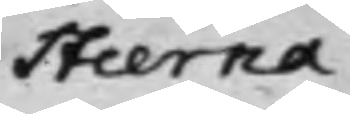Stierna
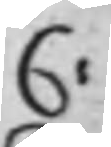C:
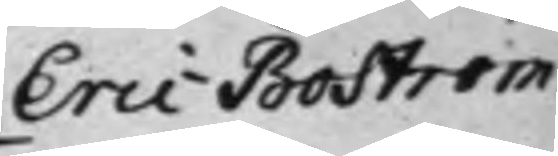Eric Boström
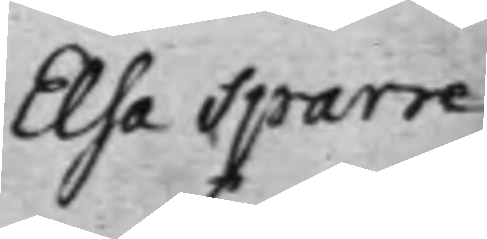Elsa Sparre
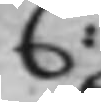C:
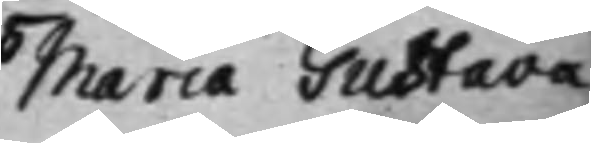Maria Gustava
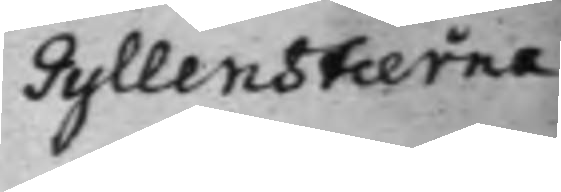Gyllenstierna
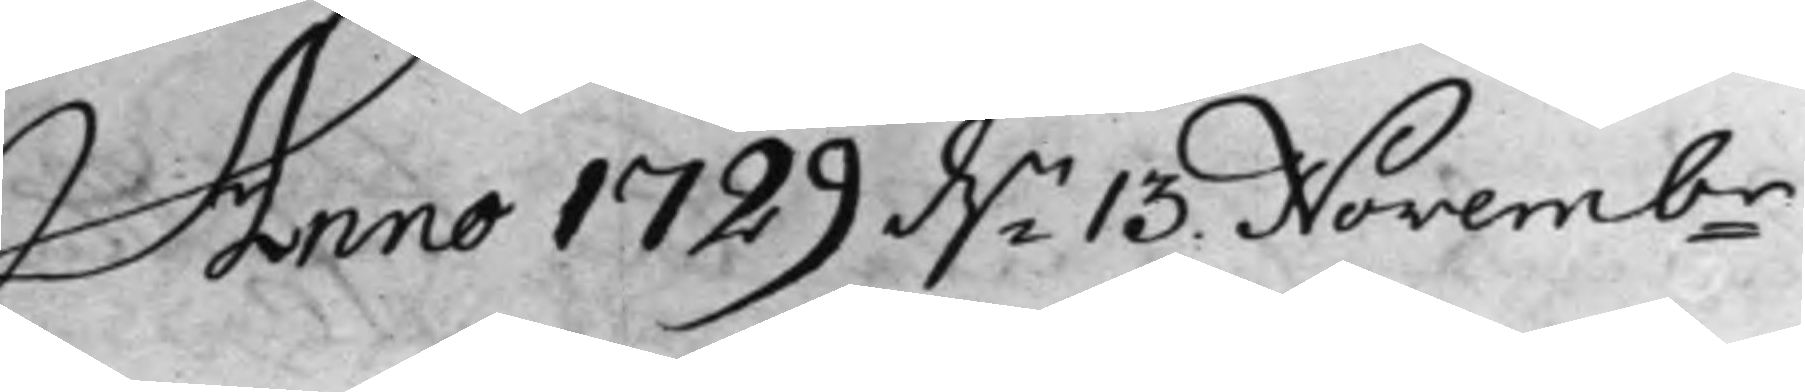Anno 1729 d.n 15 Novembr
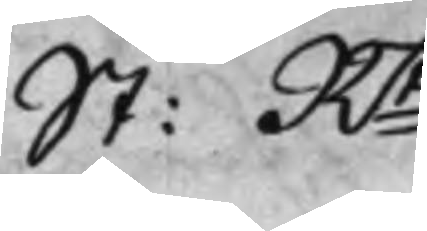St: Rt
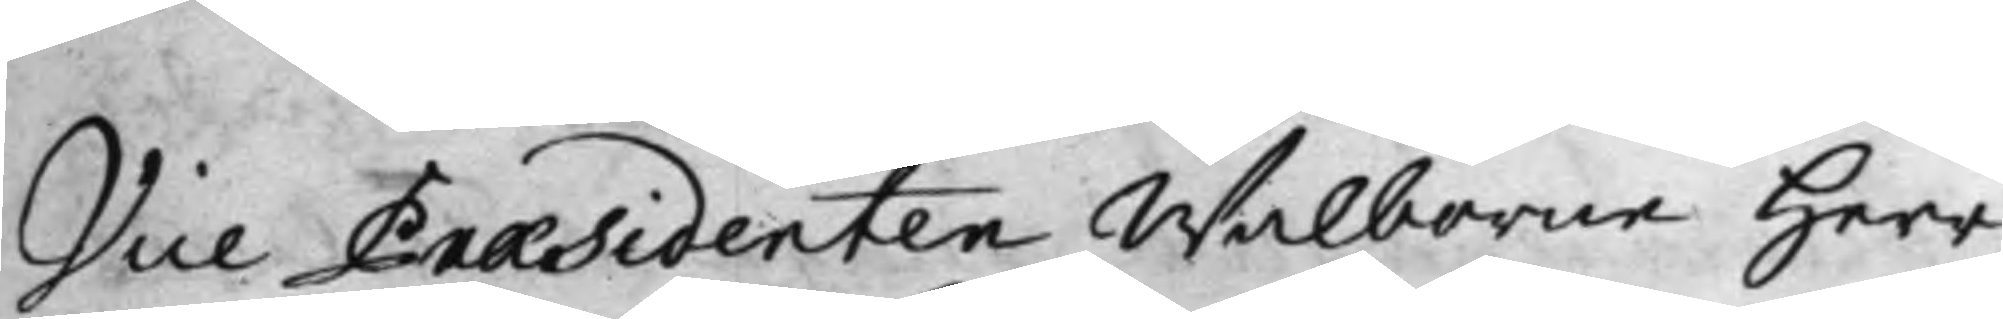Vice Præsidenten Wälborne Herr
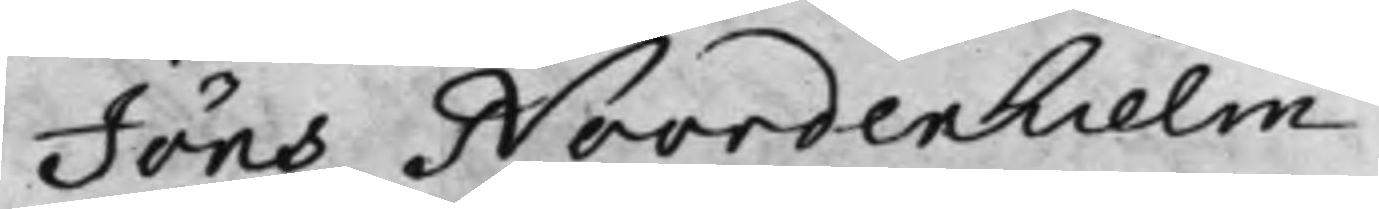Jöns Noordenhielm,
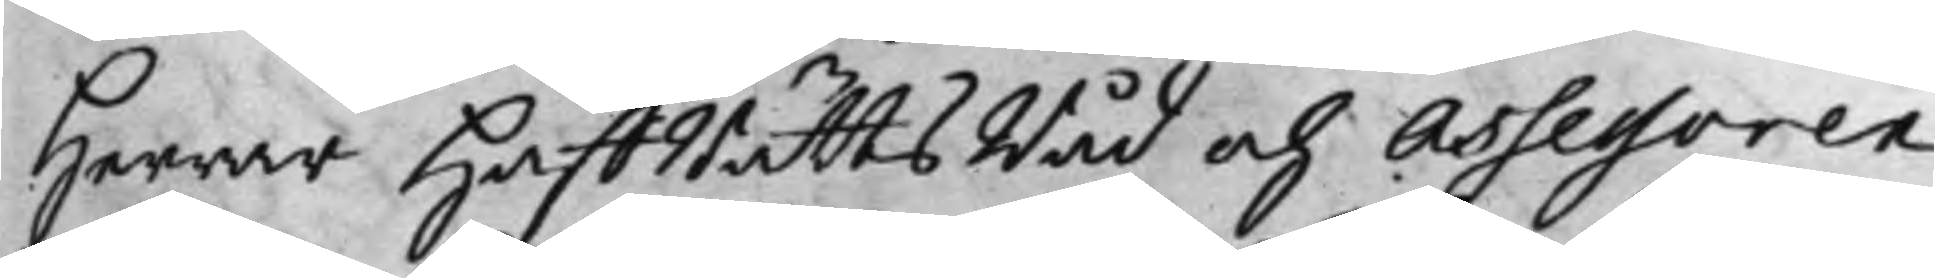Herrar HåffRättsRåd och Assessorer
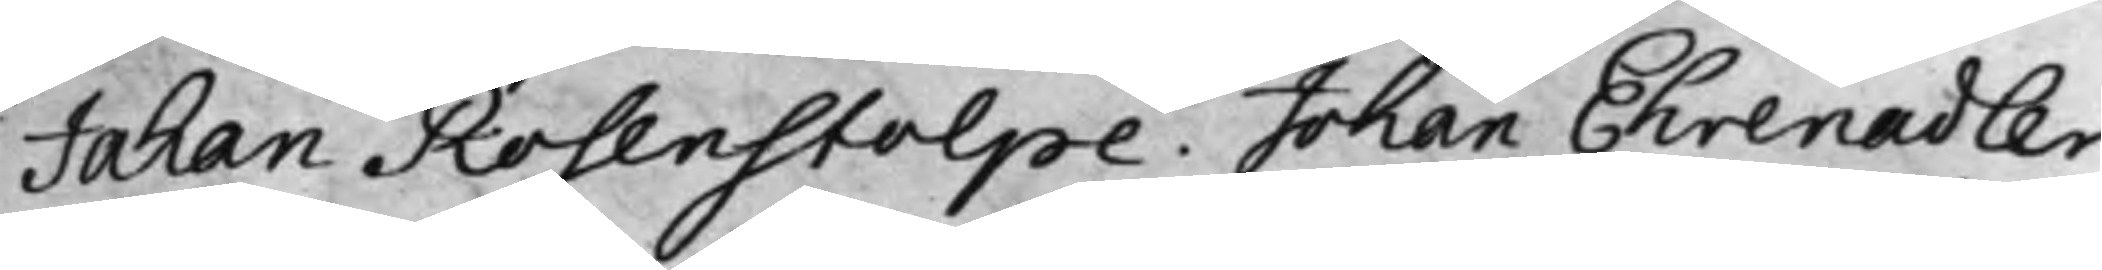Johan Rosenstolpe, Johan Ehrenadler
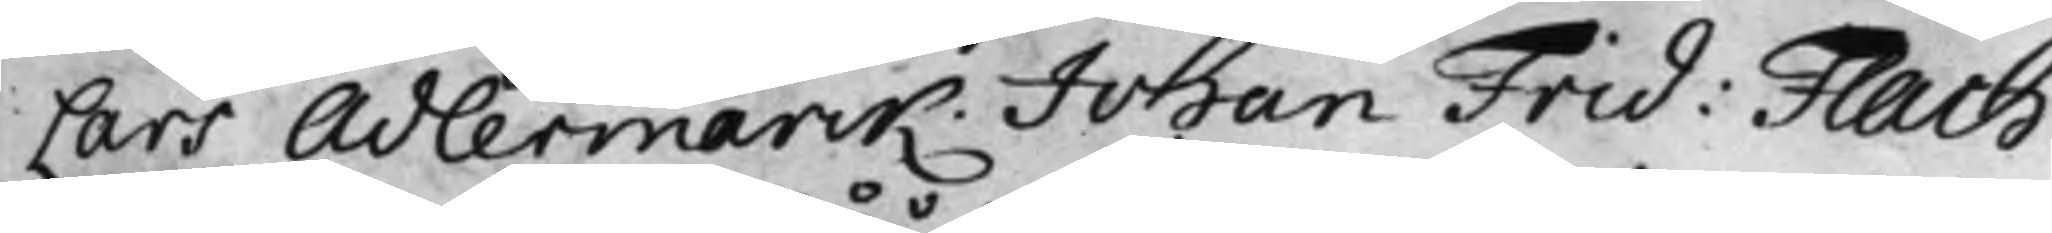Lars Adlermarck, Johan Frid: Flach.
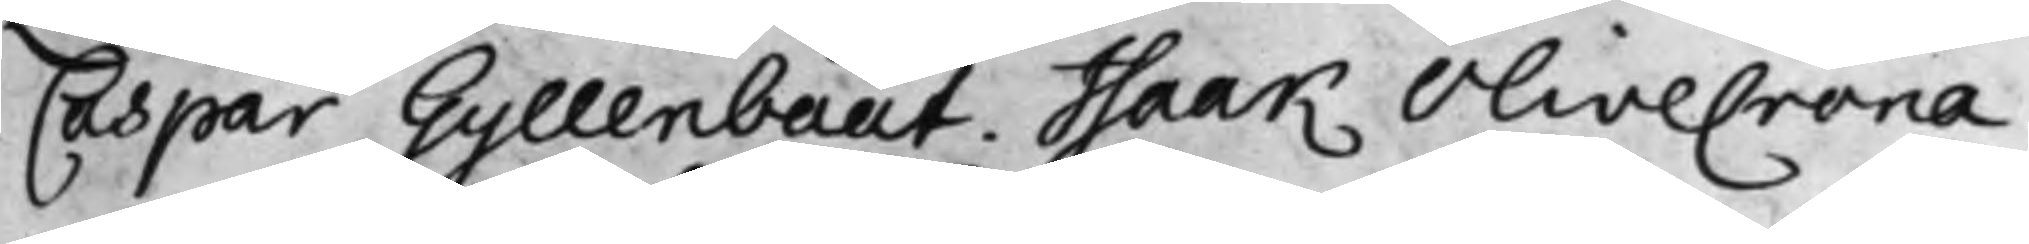Caspar Gyllenbååt. Isaak Olivecrona.
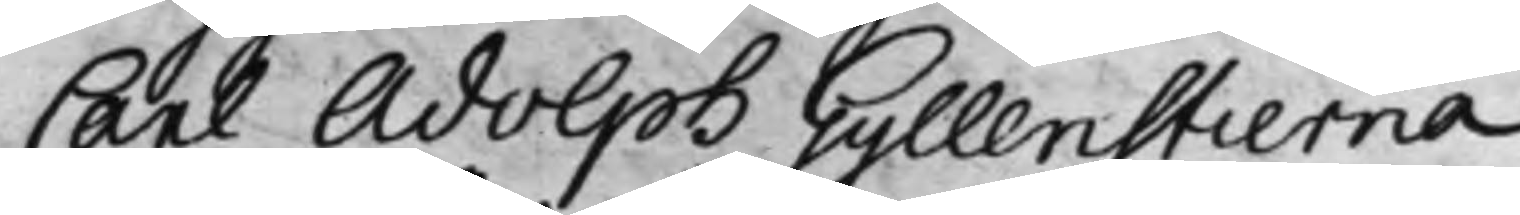Carl Adolph Gyllenstierna.
